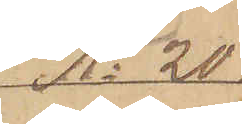No 20
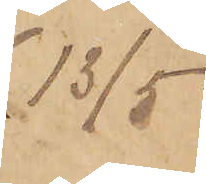13/5.
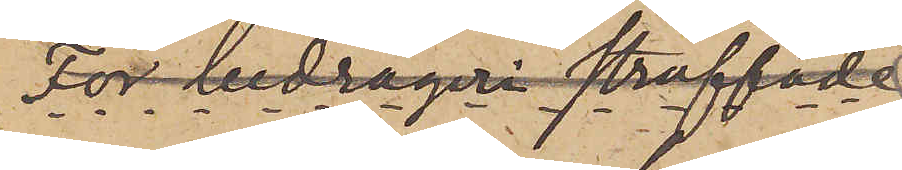För bedrägeri straffade
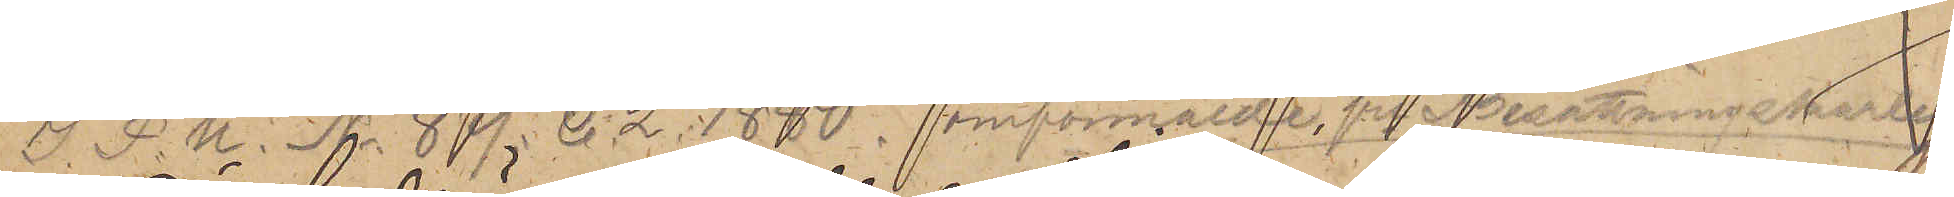I. P. U. No. 89. C. 2. 1880. omförmälde fre Besättningskarlen
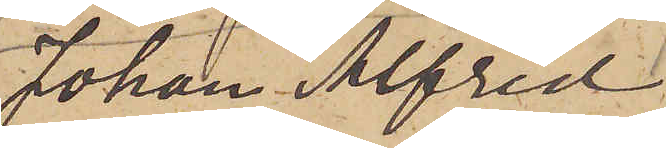Johan Alfred
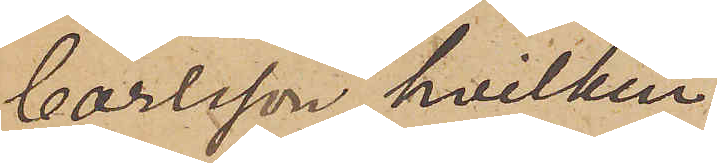Carlsson, hvilken
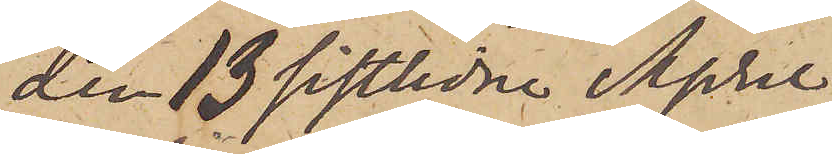den 13 sistlidne April
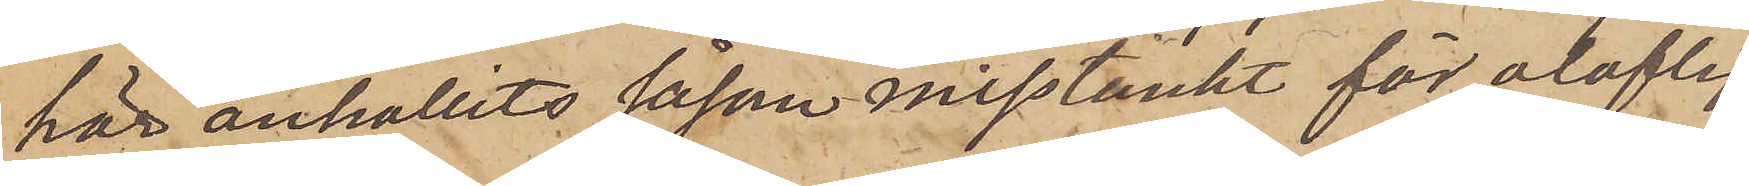här anhållits såsom misstänkt för oloflig
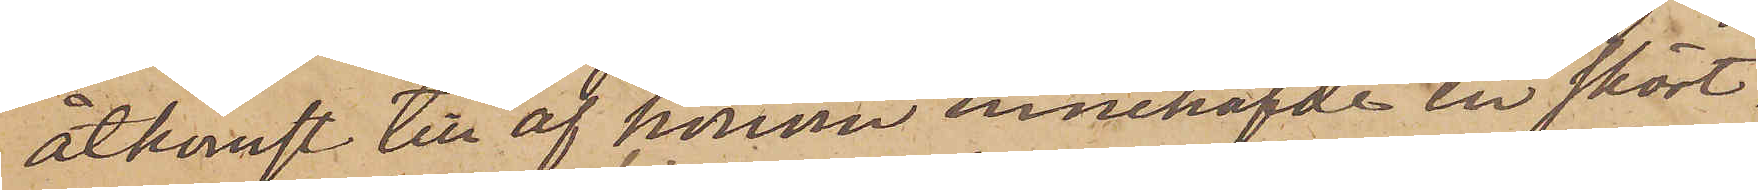åtkomst till af honom innehafde en skört¬
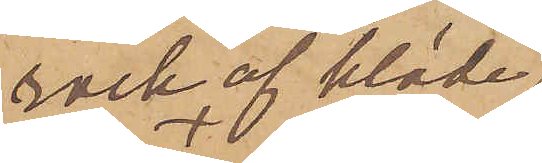rock af kläde
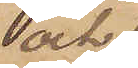och
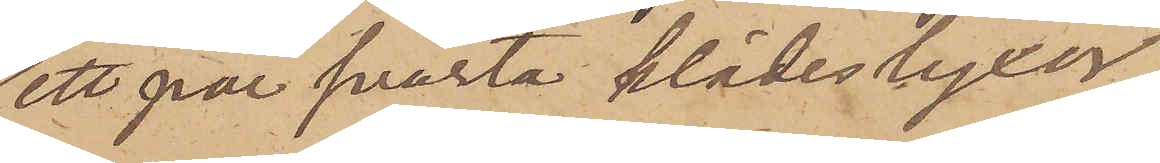ett par svarta klädesbyxor,
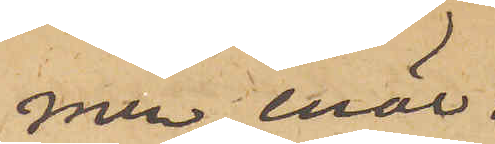men, enär
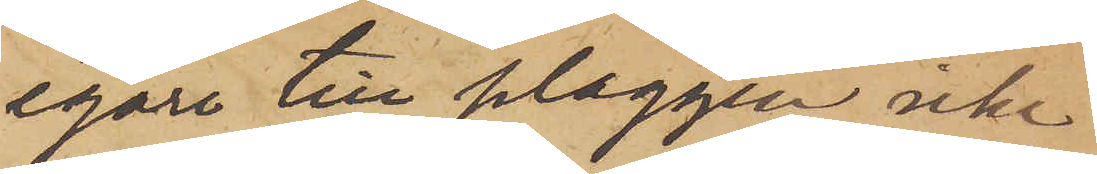egare till plaggen icke
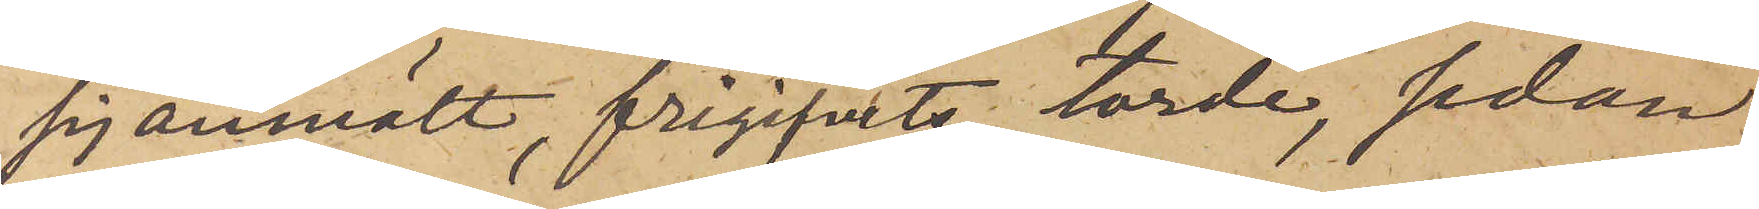sig anmält, frigifvits, torde, sedan
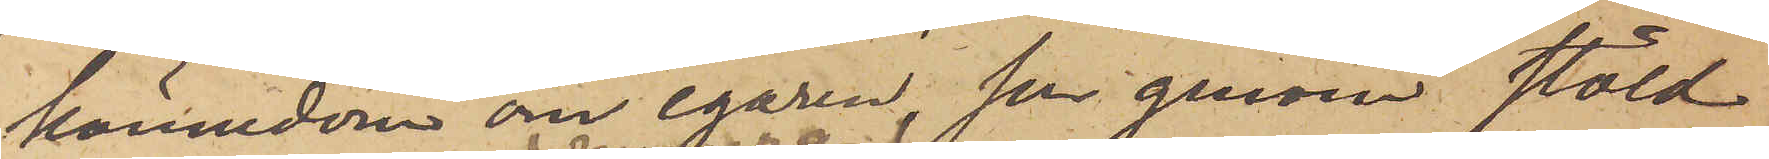kännedom om egaren, som genom stöld
